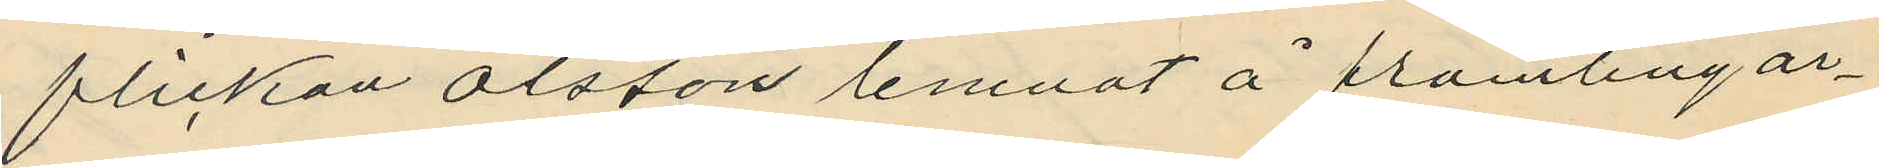flickan Olsson lemnat å främlingar¬
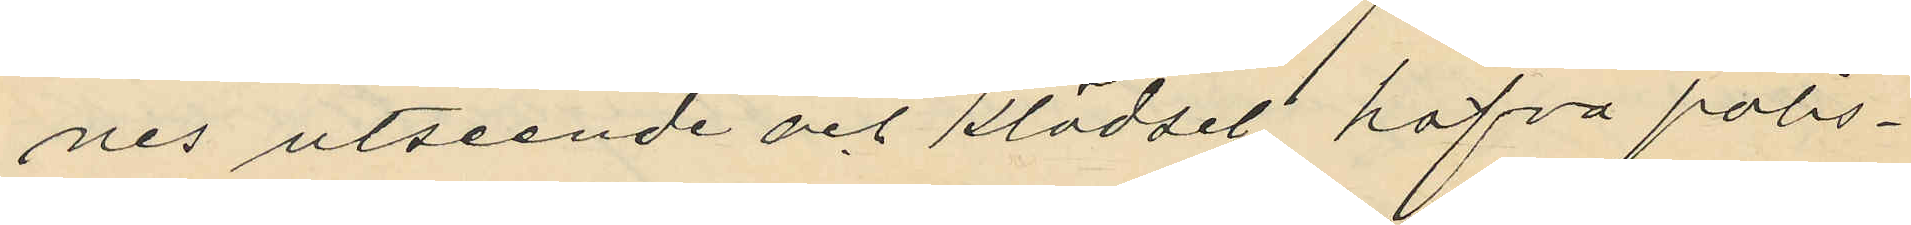nes utseende och klädsel, hafva polis¬
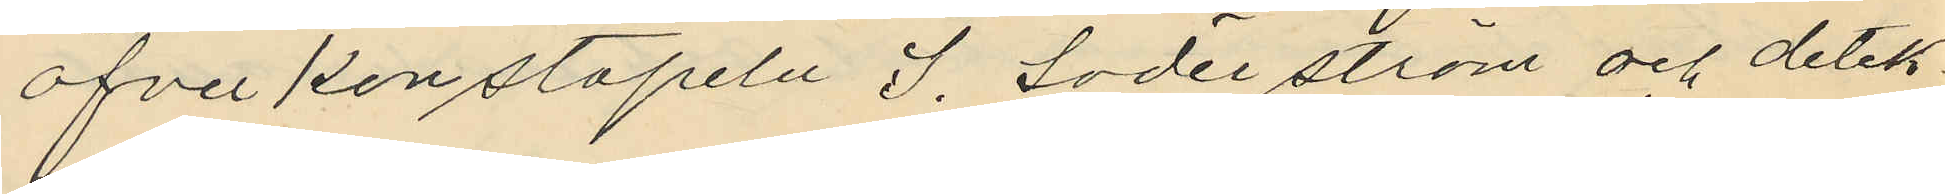öfverkonstapeln J. Söderström och detek¬
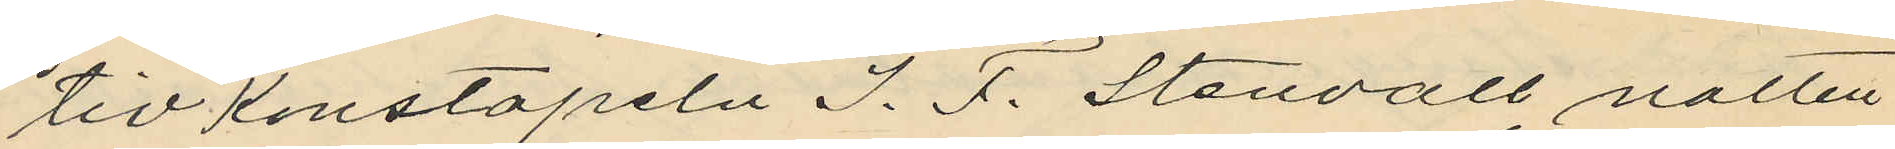tivkonstapeln J. F. Stenvall, natten
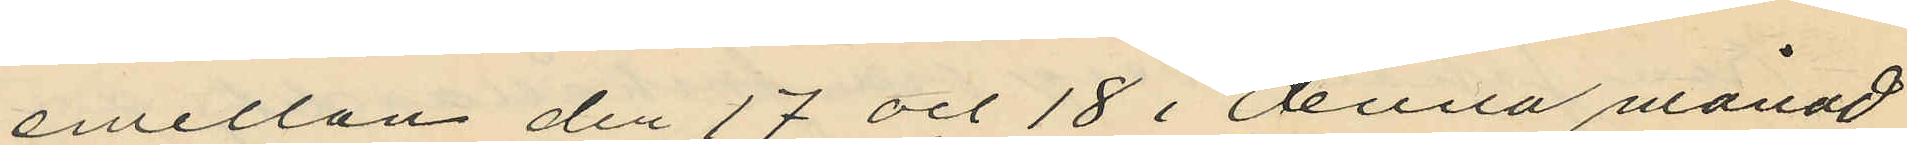emellan den 17 och 18 i denna månad
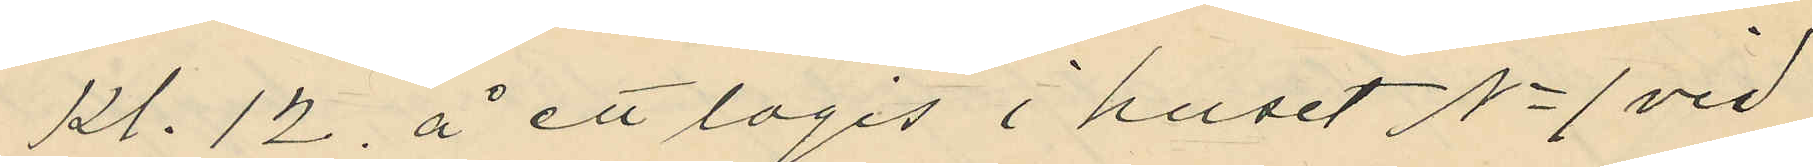kl. 12 å ett logis i huset No 1 vid
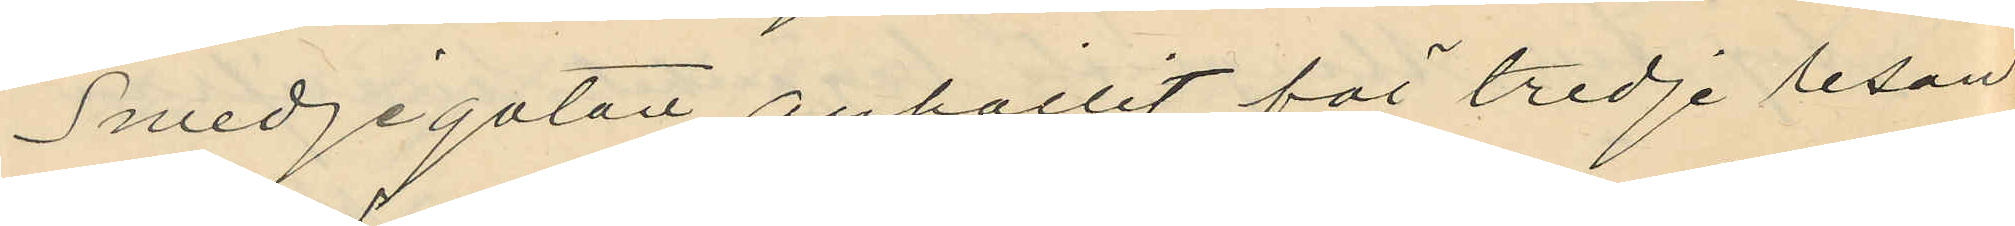Smedjegatan anhållit för tredje resan
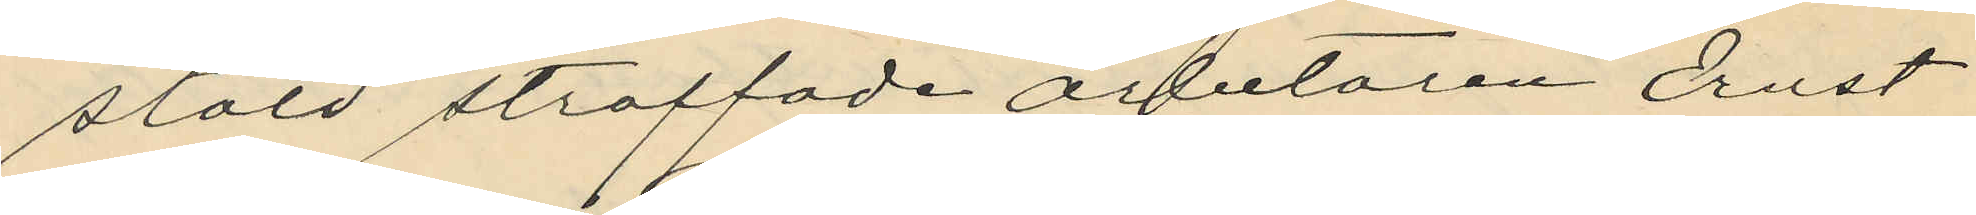stöld straffade arbetaren Ernst
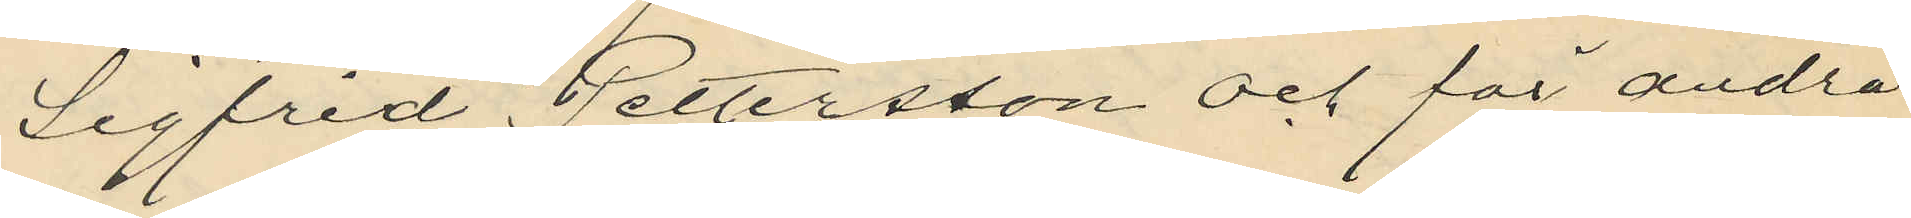Sigfrid Pettersson och för andra
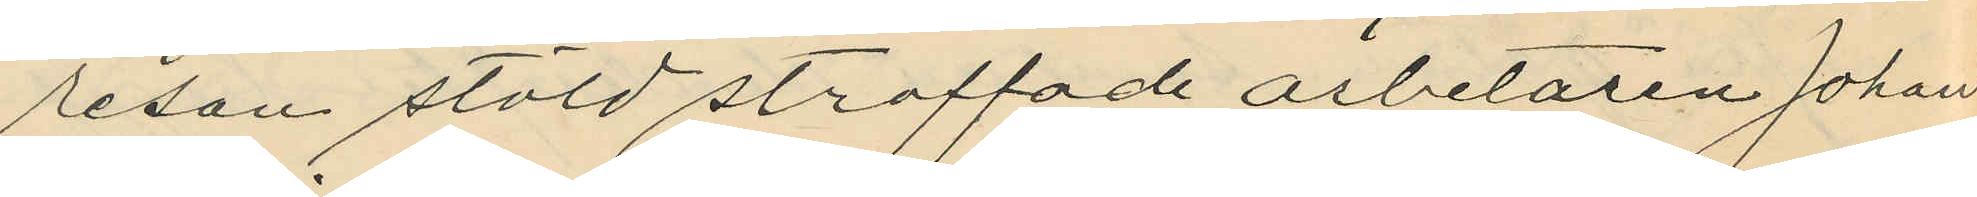resan stöld straffade arbetaren Johan
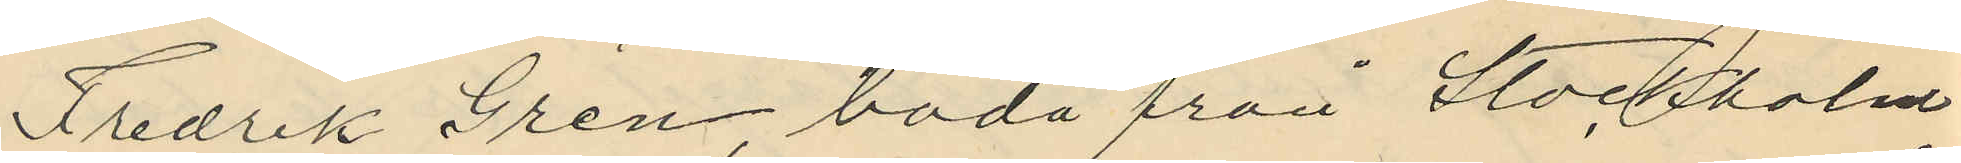Fredrik Gren, båda från Stockholm,
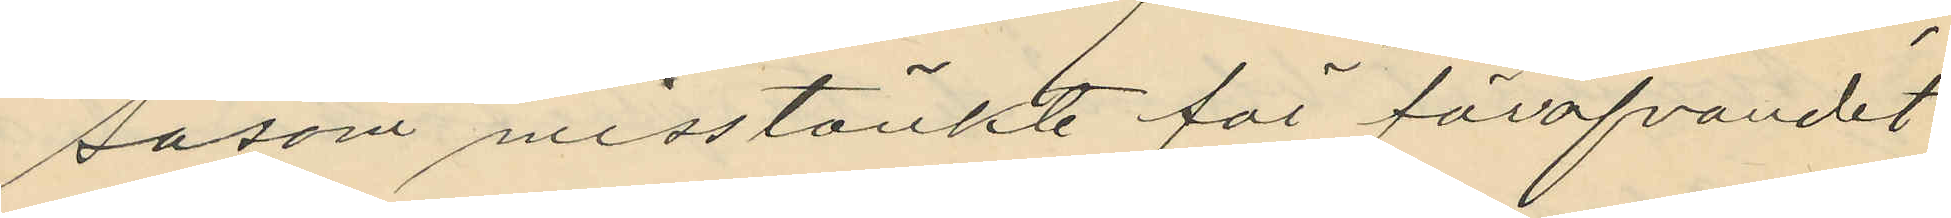såsom misstänkte för föröfvandet
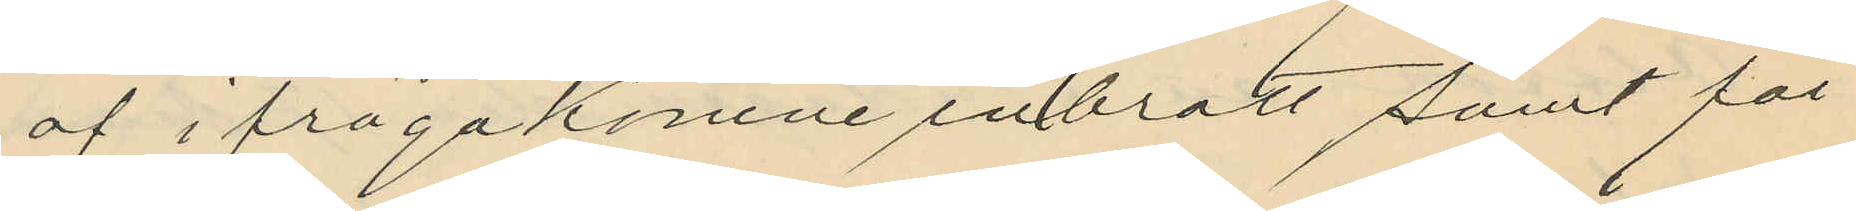af ifrågakomne inbrott samt för
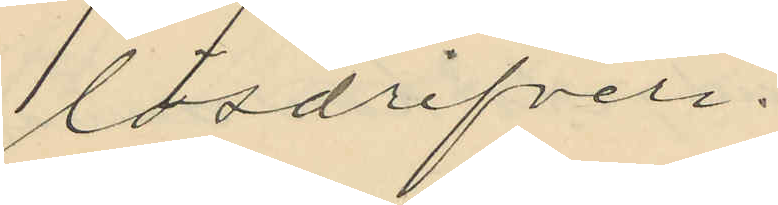lösdrifveri.
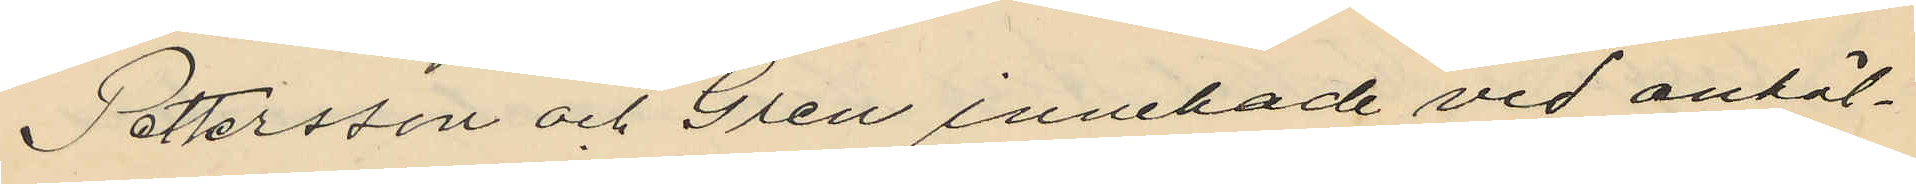Pettersson och Gren innehade vid anhål¬
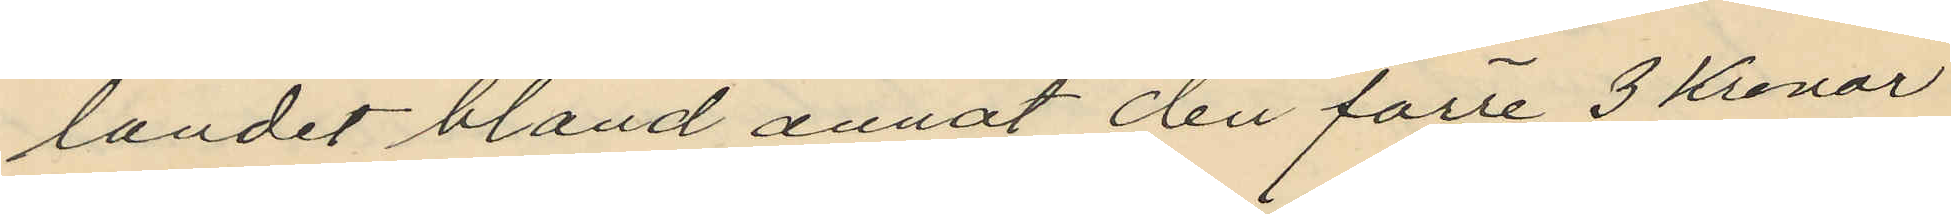landet bland annat den förre 3 Kronor
